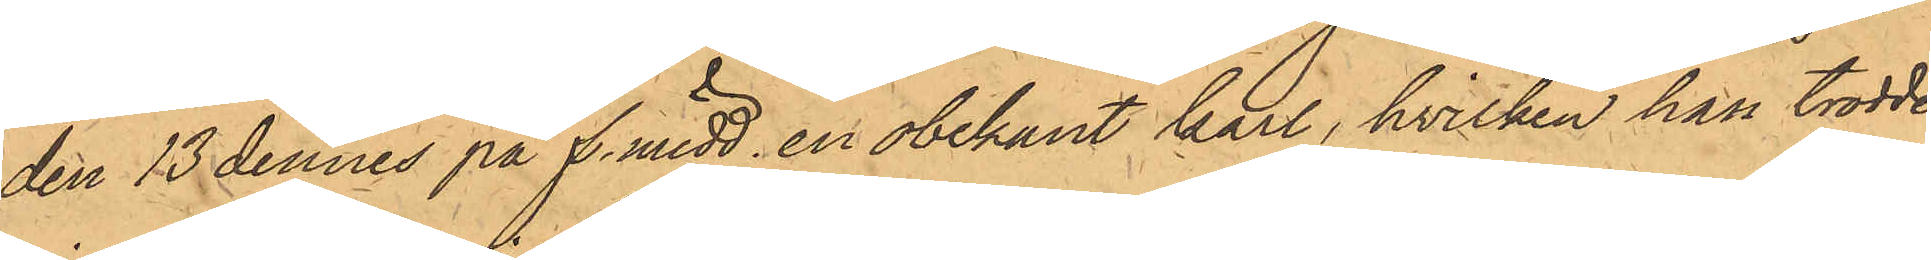den 13 dennes på f. midd. en obekant karl, hvilken han trodde
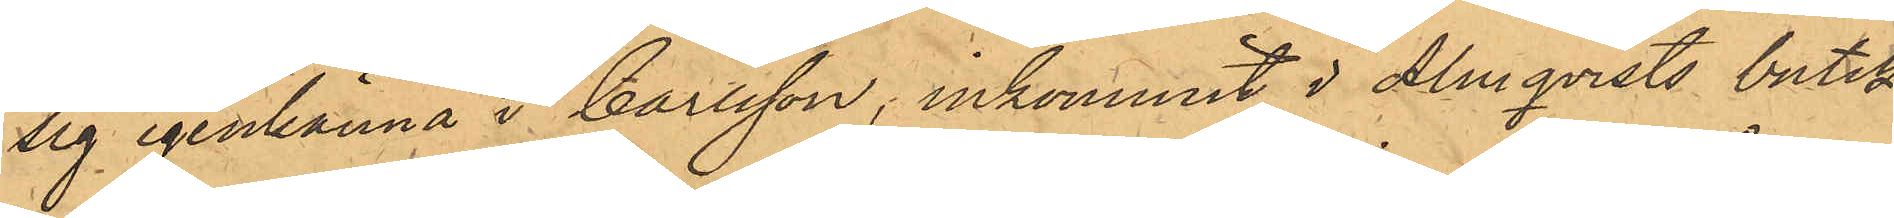sig igenkänna i Carlsson, inkommit i Almqvists butik
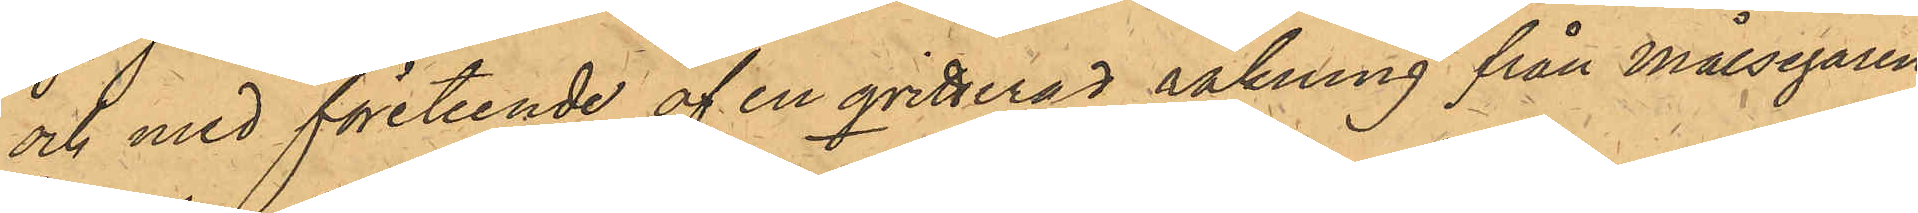och med företeende af en qvitterad räkning från Målsegaren
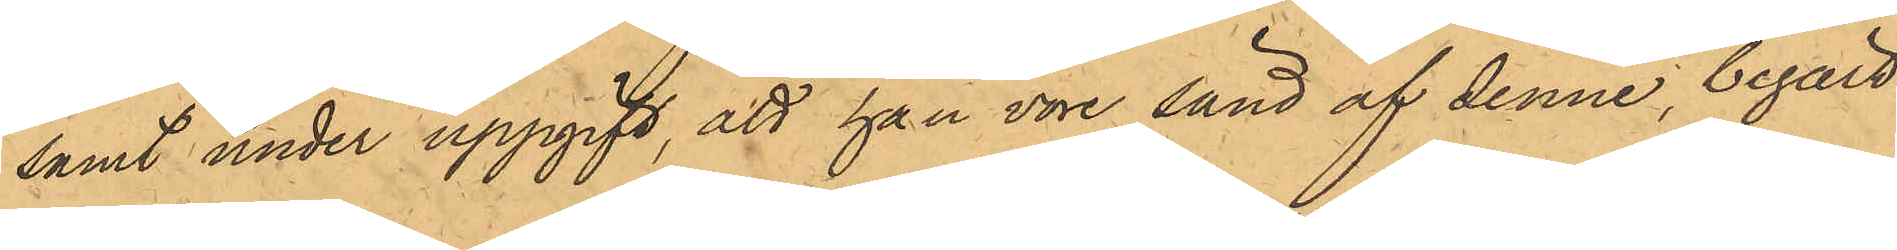samt under uppgift, att han vore sänd af denne, begärt
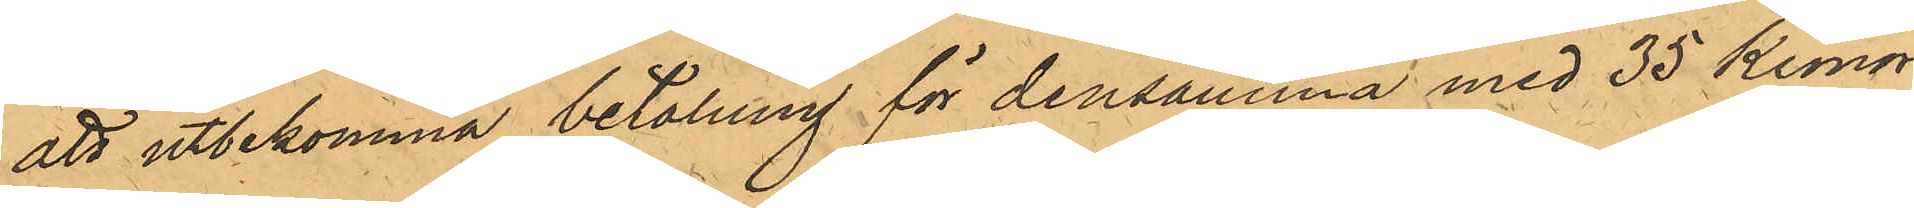att utbekomma betalning för densamma med 35 Kronor,
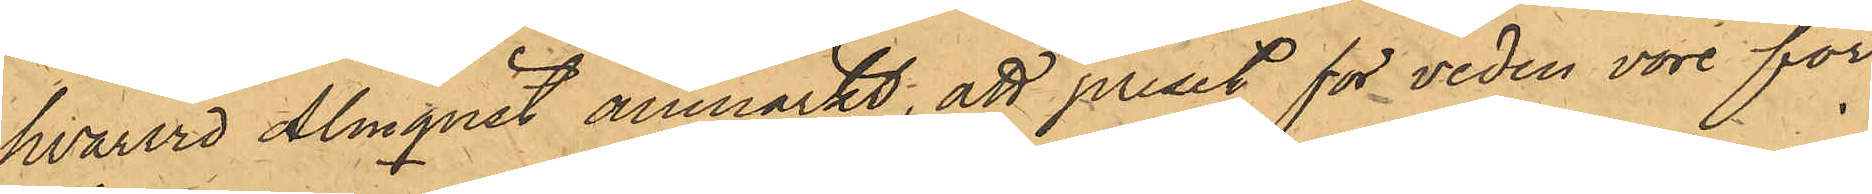hvarvid Almqvist anmärkt, att priset för veden vore för
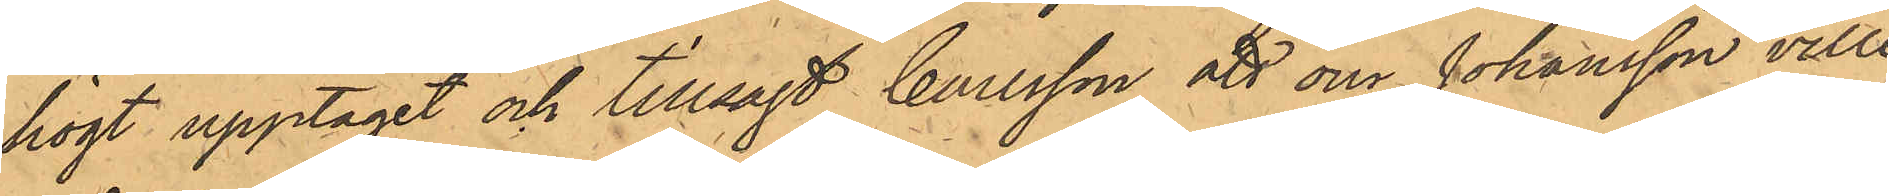högt upptaget och tillsagt Carlsson att om Johansson ville
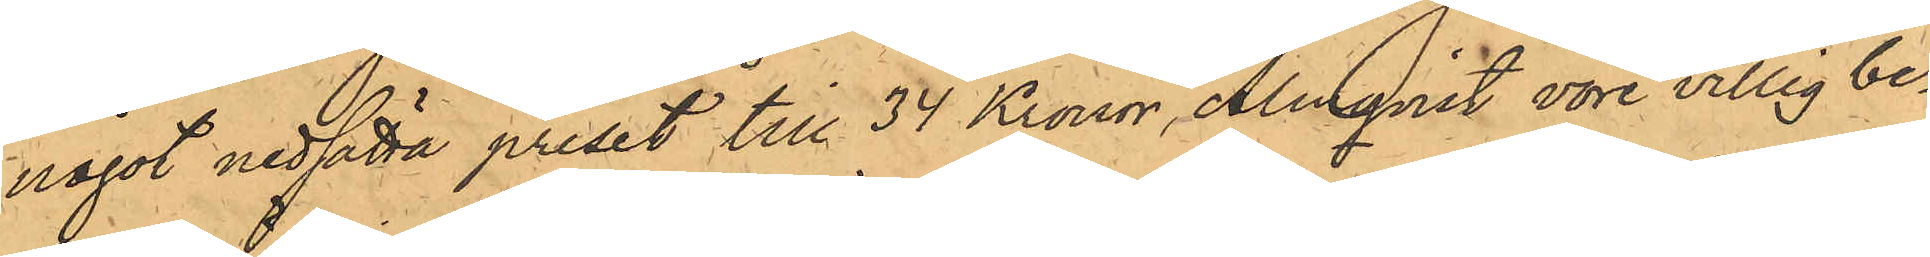något nedsätta priset till 34 Kronor, Almqvist vore villig be¬
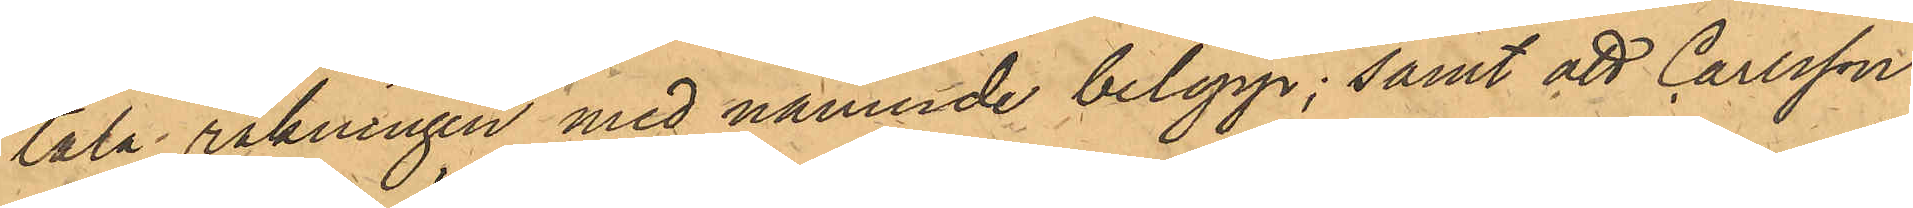tala räkningen med nämnde belopp; samt att Carlsson
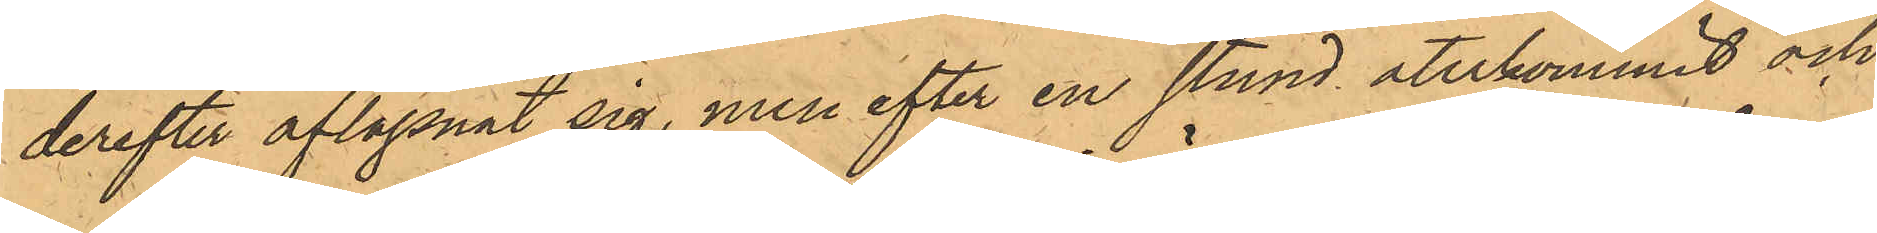derefter aflägsnat sig, men efter en stund återkommit och
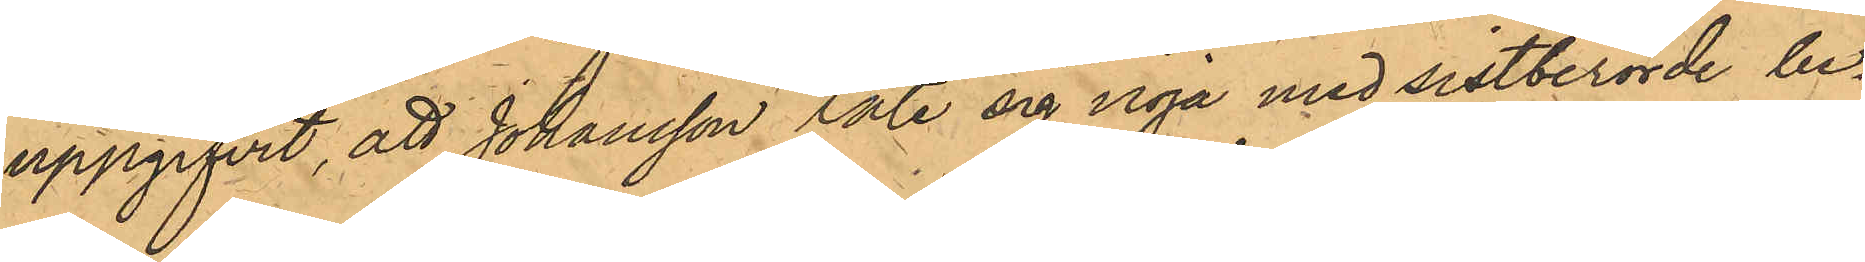uppgifvit, att Johansson läte sig nöja med sistberörde be¬
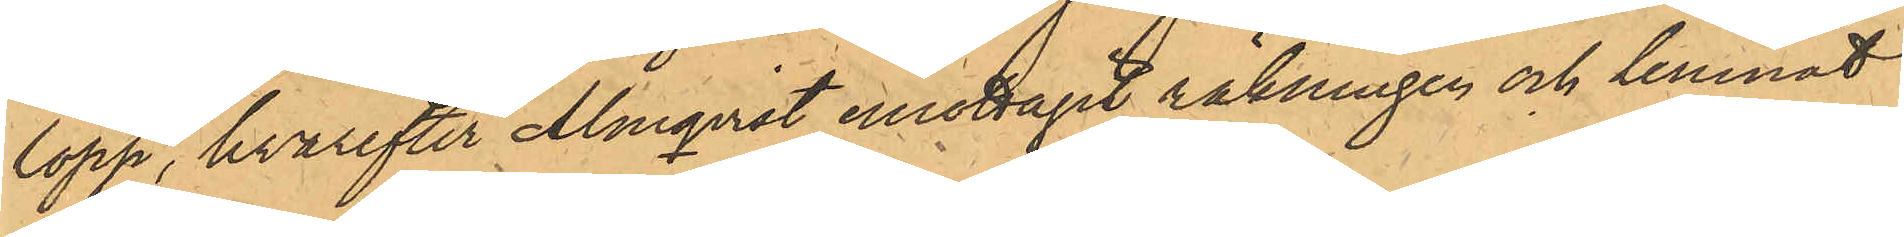lopp, hvarefter Almqvist emottagit räkningen och lemnat
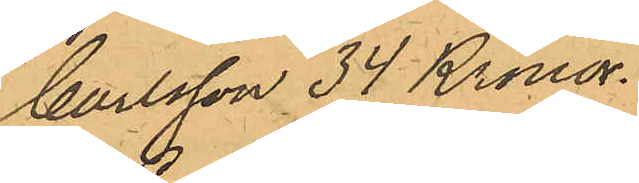Carlsson 34 Kronor.
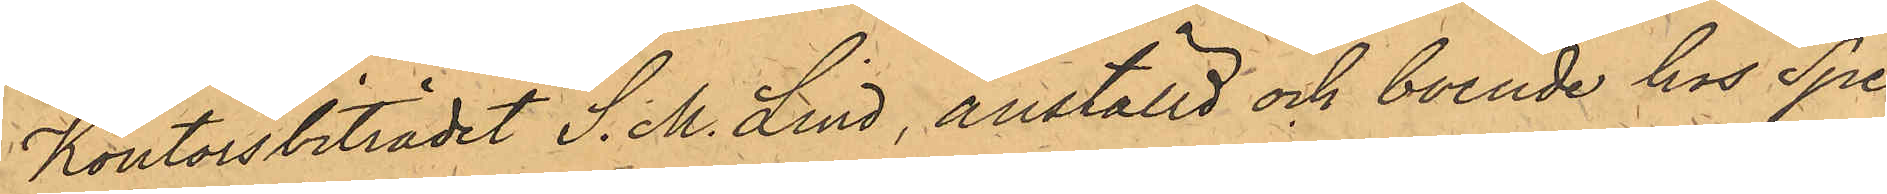Kontorsbiträdet S. M. Lind, anställd och boende hos Spe¬
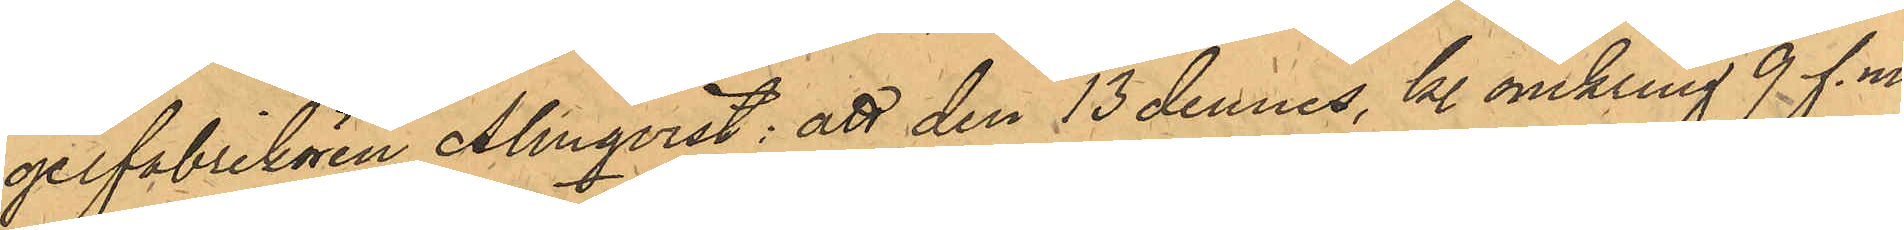gelfabrikören Almqvist: att den 13 dennes, kl. omkring 9 f.m.
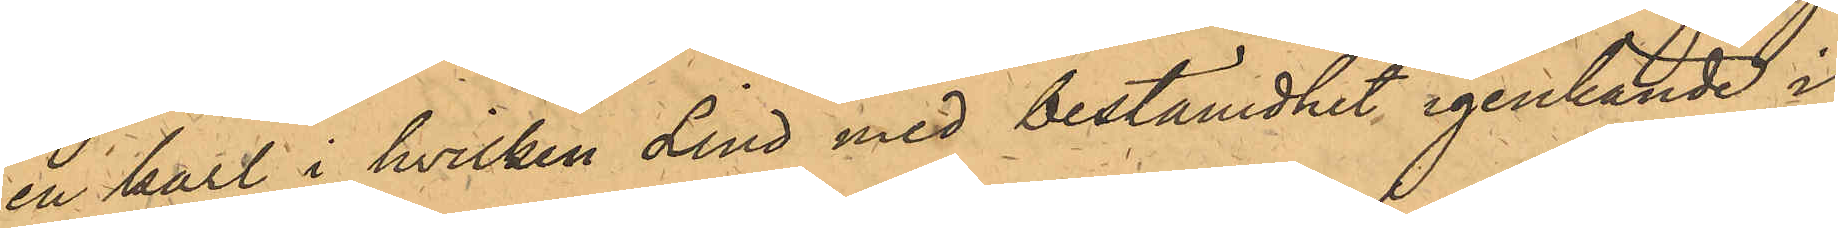en karl i hvilken Lind med bestämdhet igenkände i
